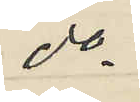do
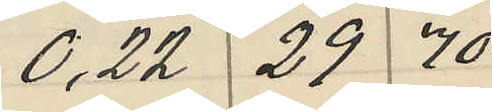0,22 29 70
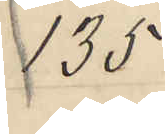135
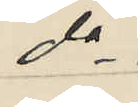do
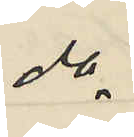do
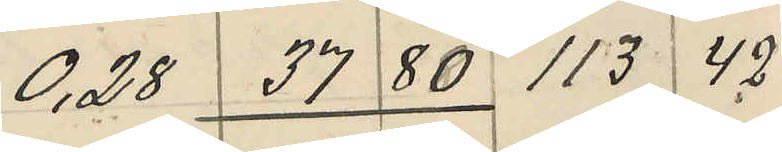0,28 37 80 113 42
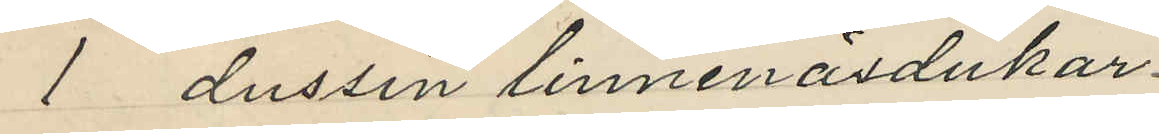1 dussin linnenäsdukar
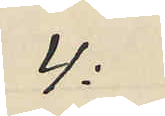4:
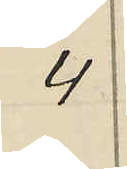4
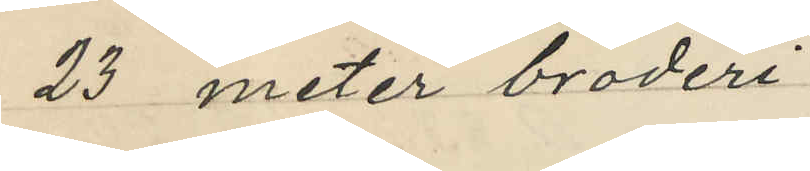23 meter broderi
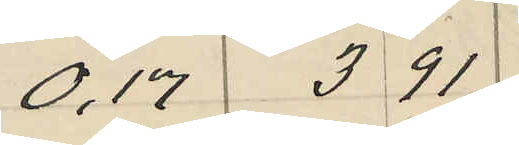0,17 3 91
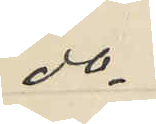do
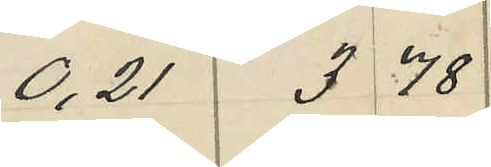0,21 3 78
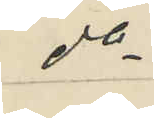do
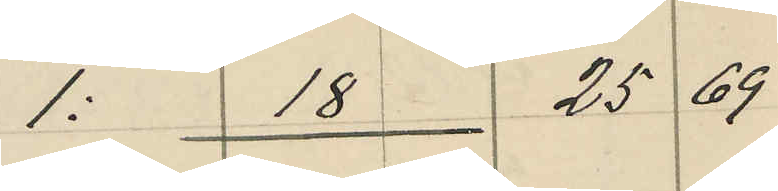1: 18 2569
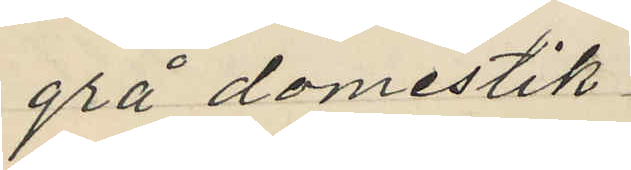grå domestik
